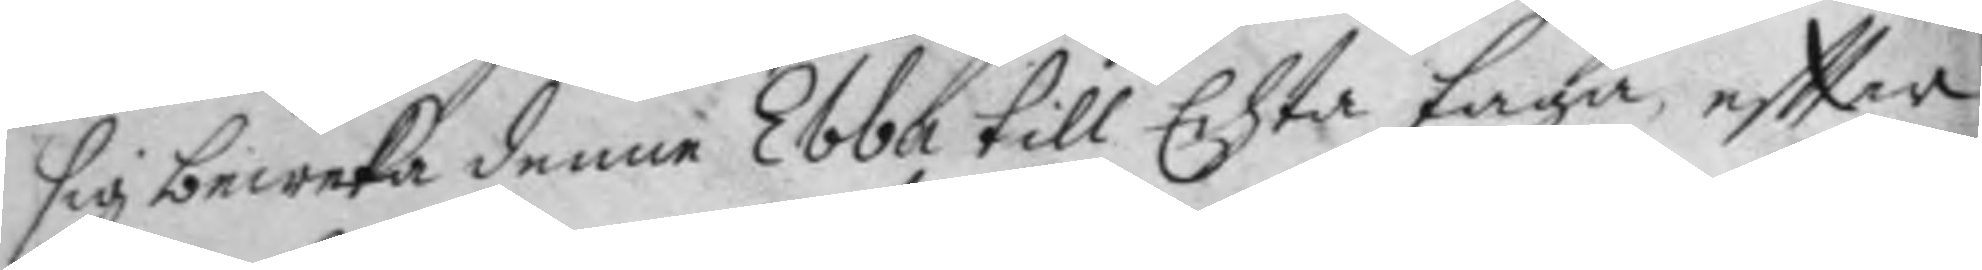sig beweka denne Ebba till Echta taga, eftter
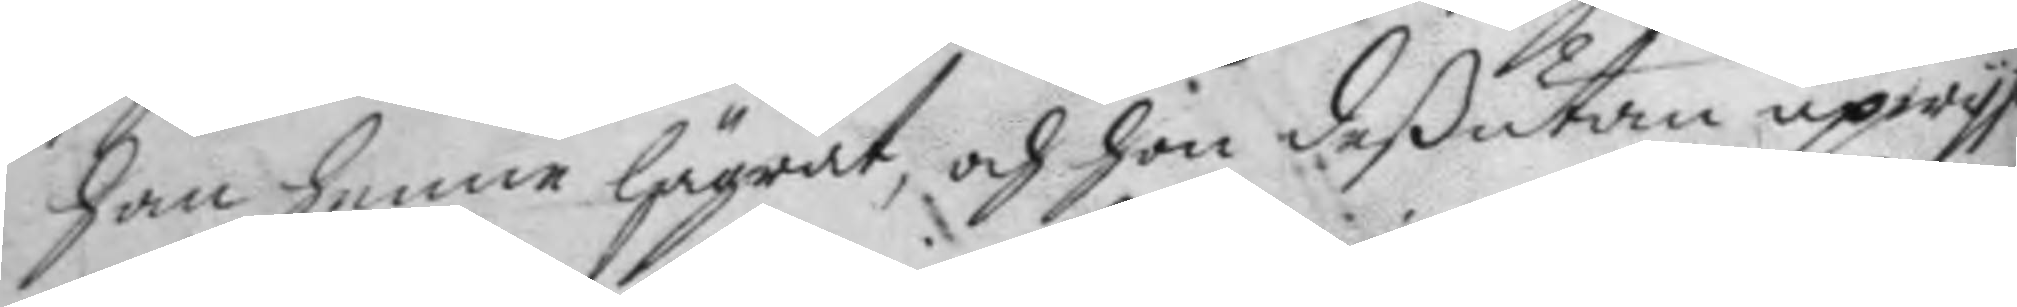han henne lägrat, och hon deßutan upwy
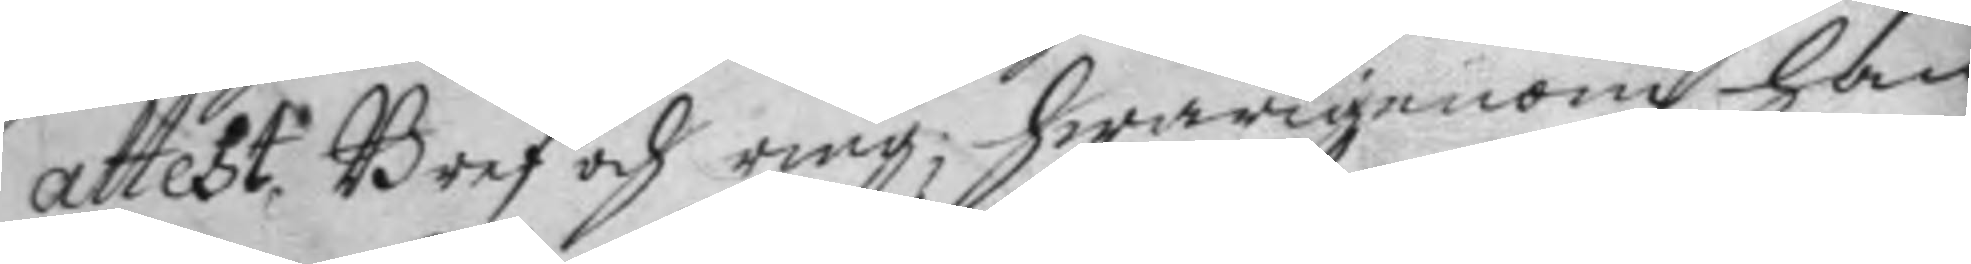attest, Bref och ring; hwarigenom han
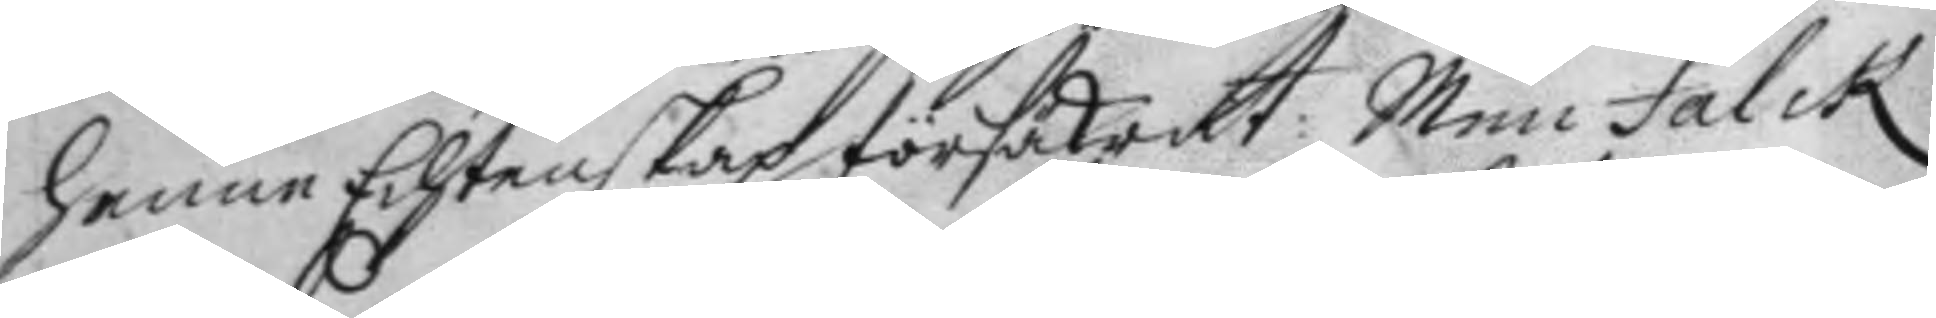henne Echtenskap försäkratt: Men Falck
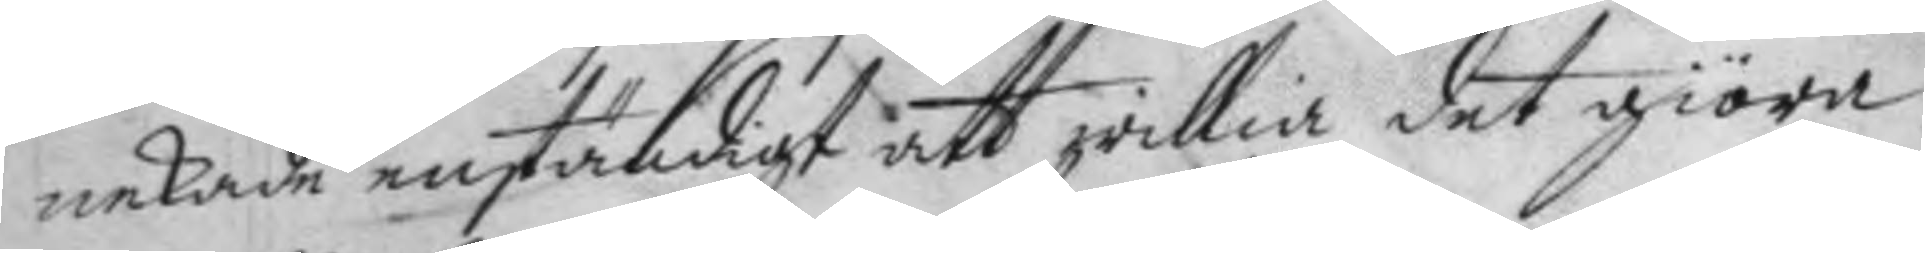nekade enständigt att willia det giöra;
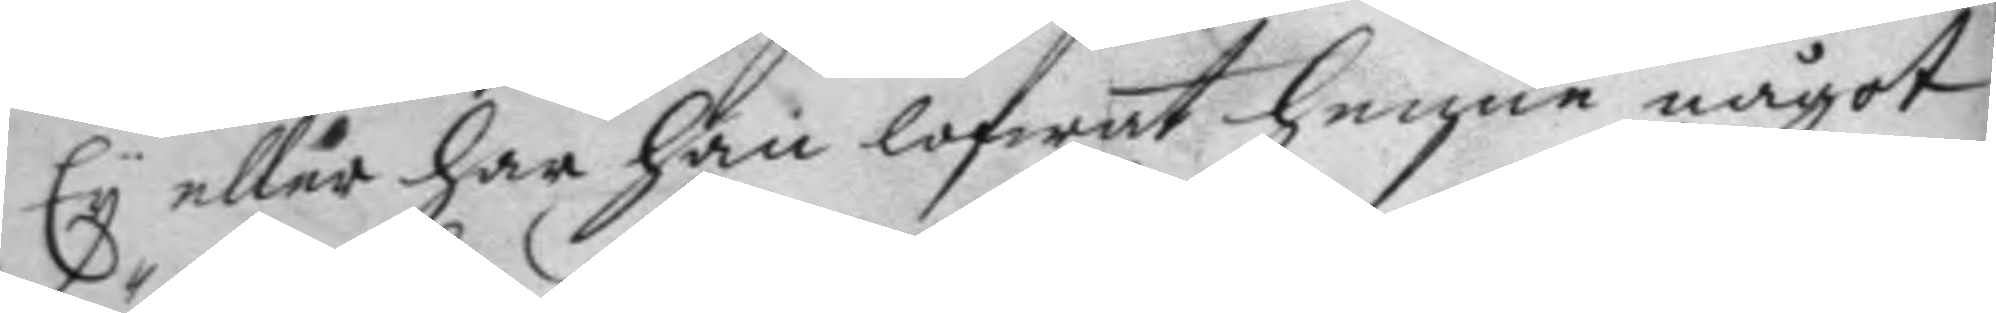Ey eller har han lofwat henne något
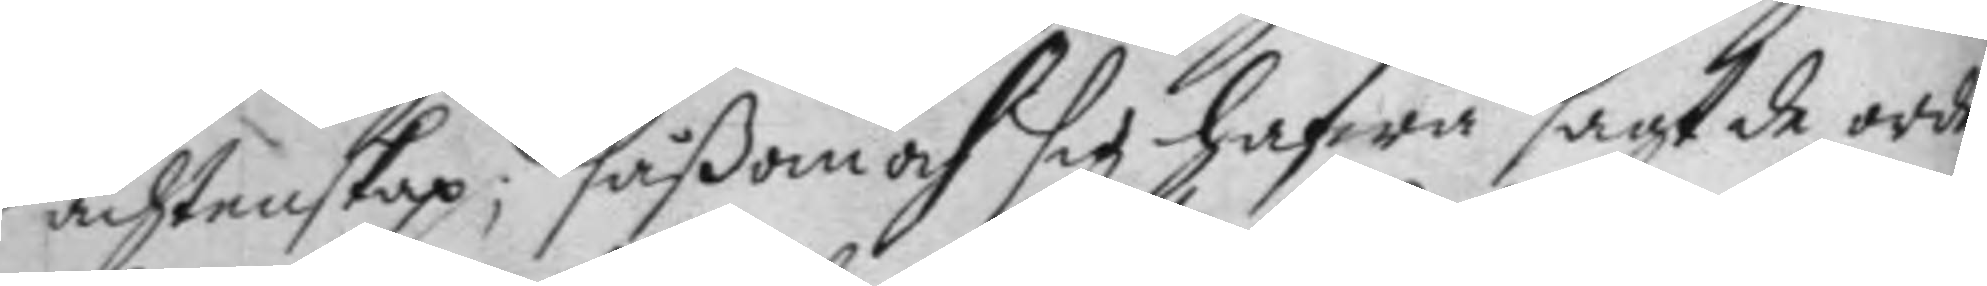ächtenskap; såßom och sig hafwa sagt de orden
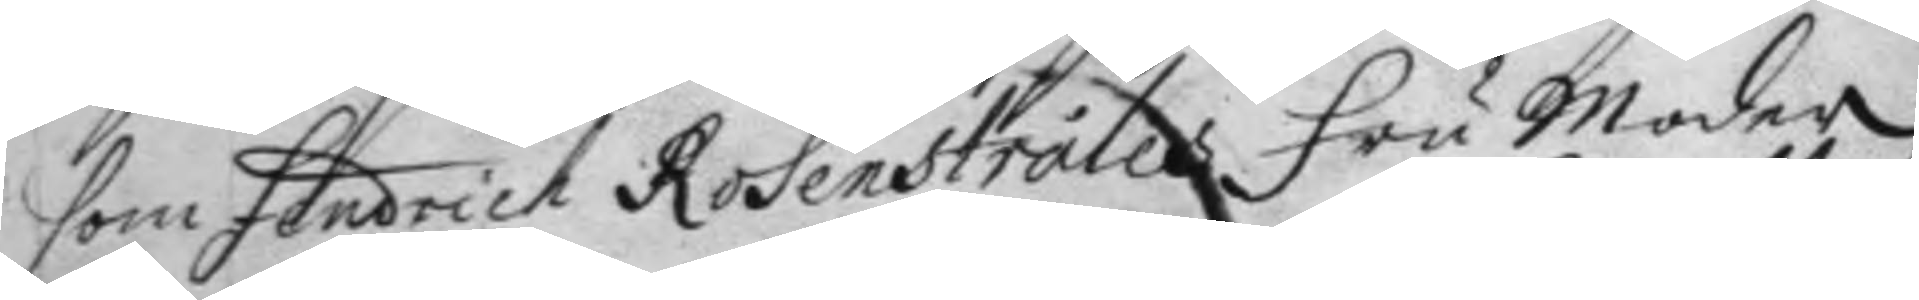som Fendrich Rosenstråles Fru Moder i
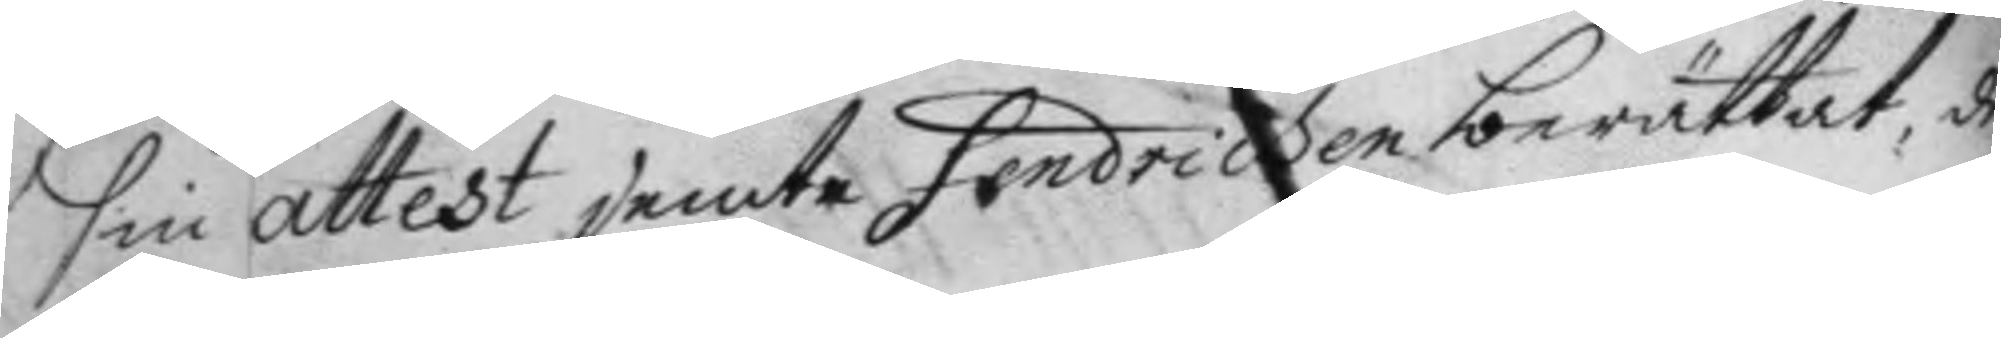sin attest jemte Fendricken berättat, de
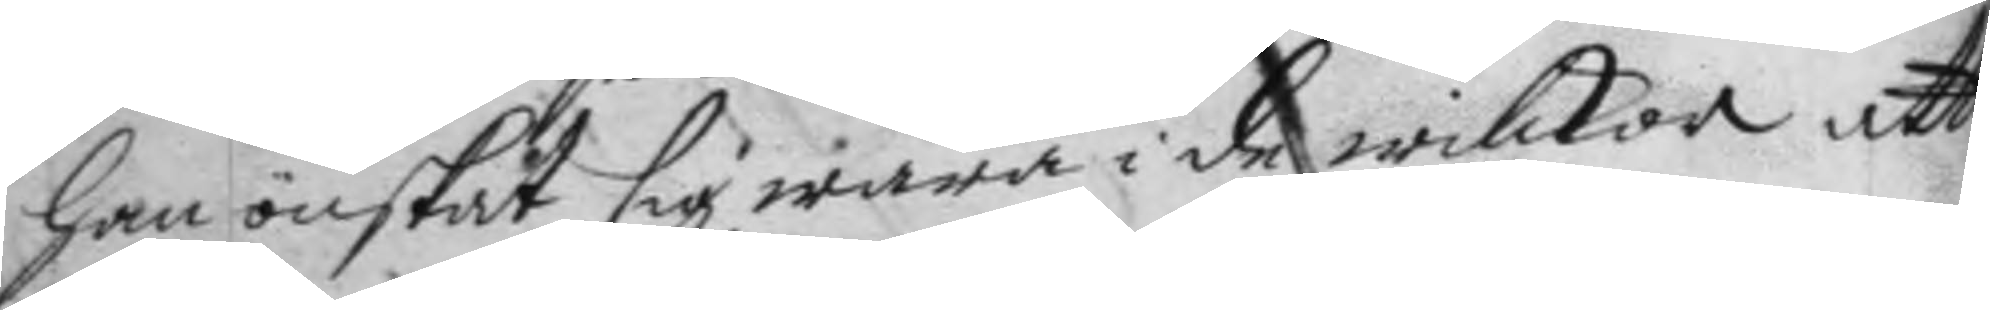han önskat sig wara i de wilkor att
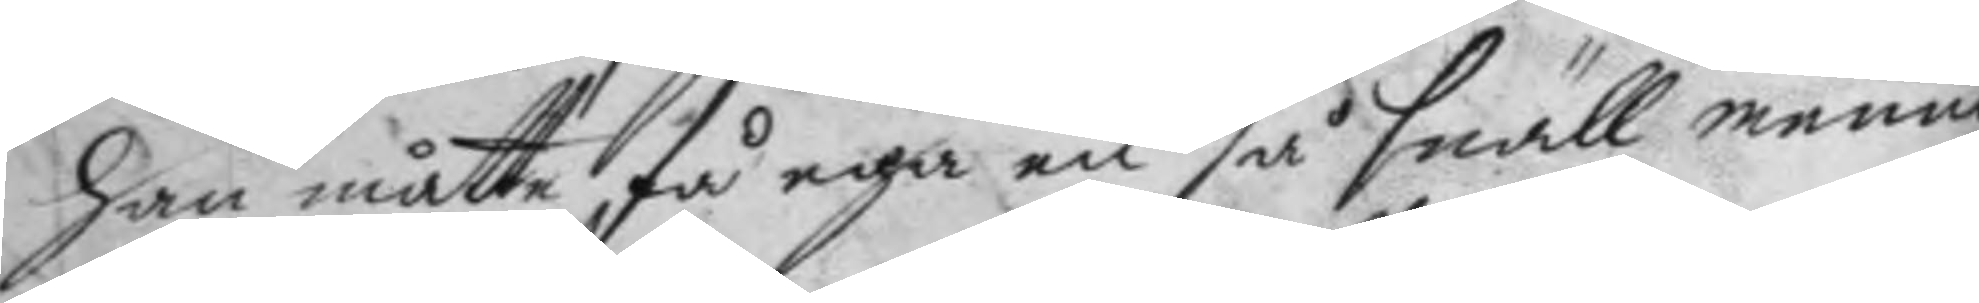han måtte, få ega en så snäll menni¬
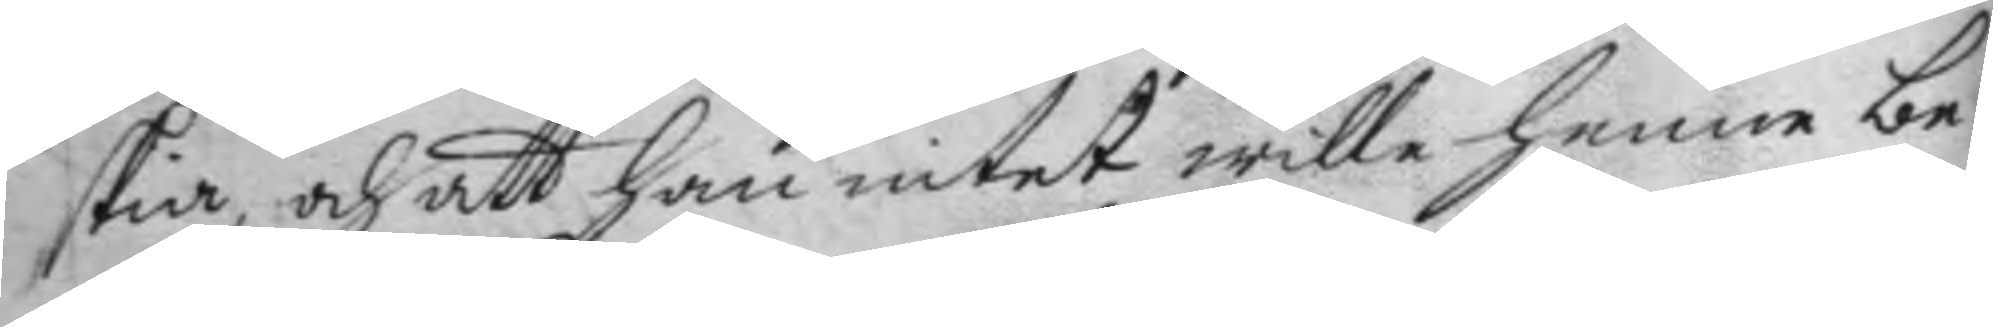skia, och att han intet wille henne be¬
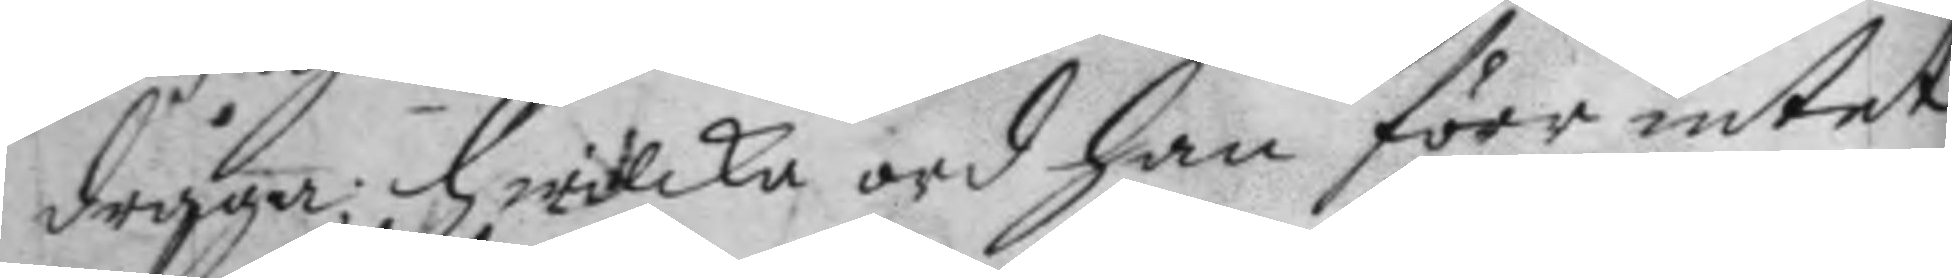draga; hwilka ord han förr intet
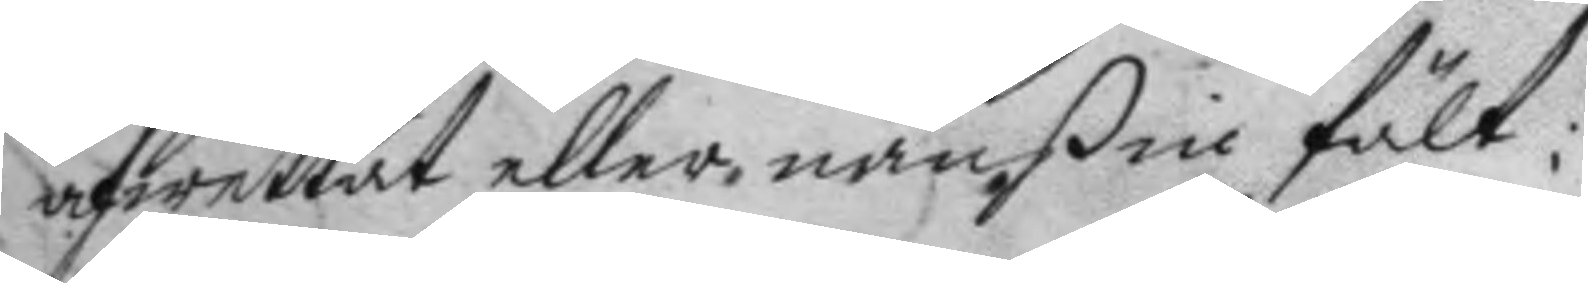afwettat eller nånßin fält:
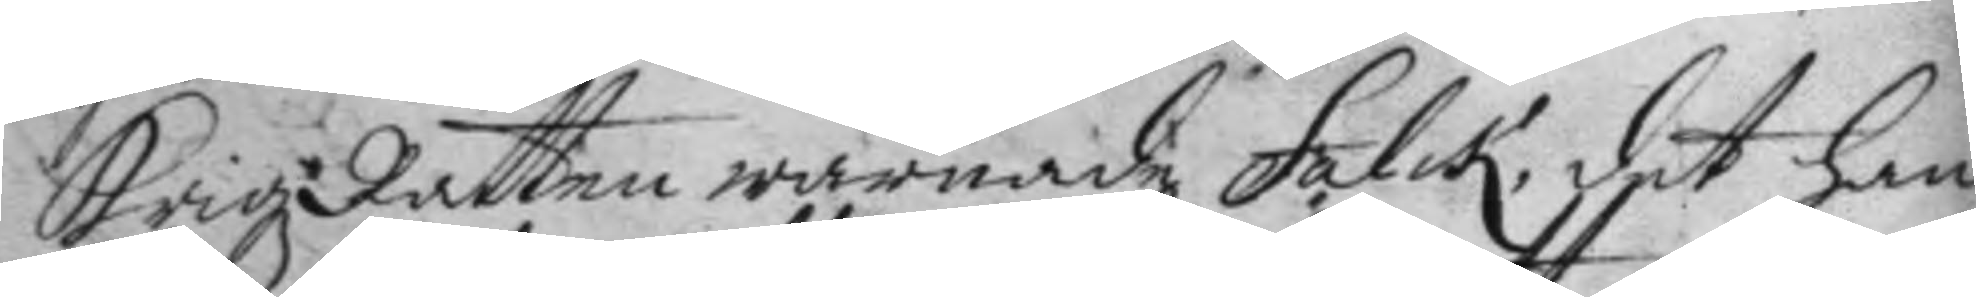KrigzRätten warnade Falck, det han
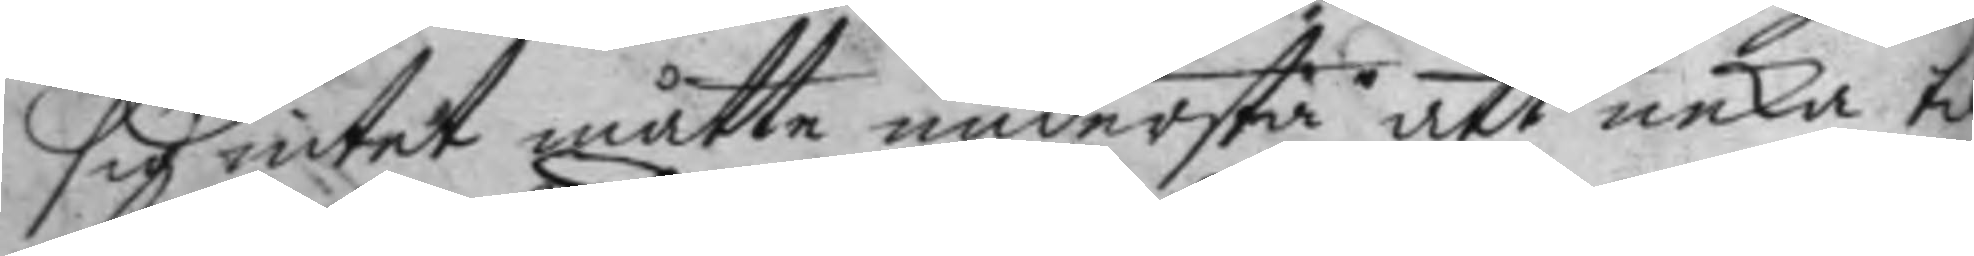sig intet måtte understå att neka til
